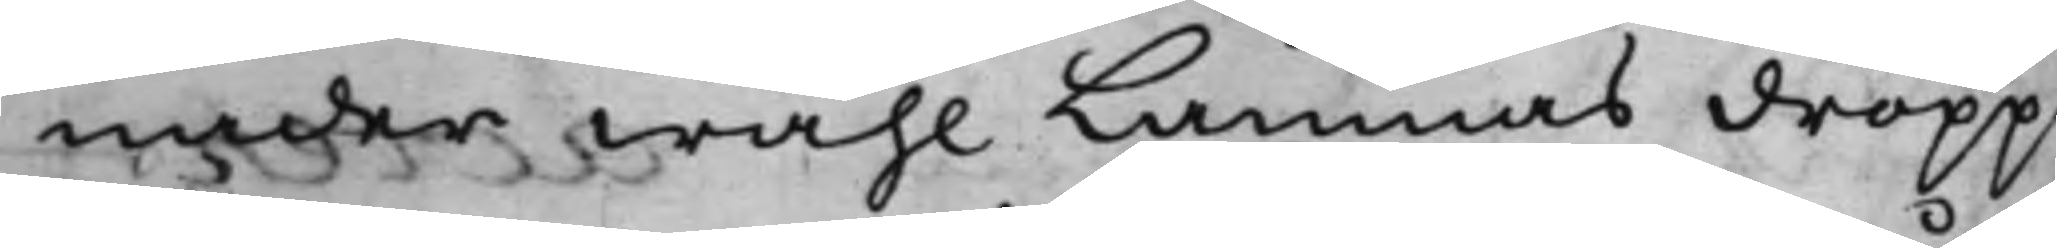nader wähl Lämnas dropp¬
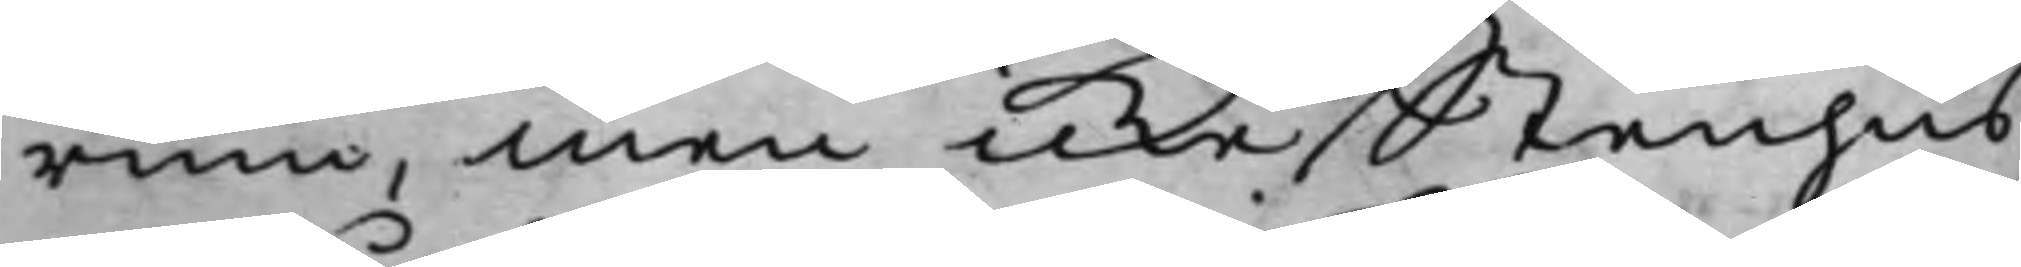rum, men icke stenhus.
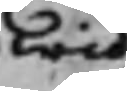wid
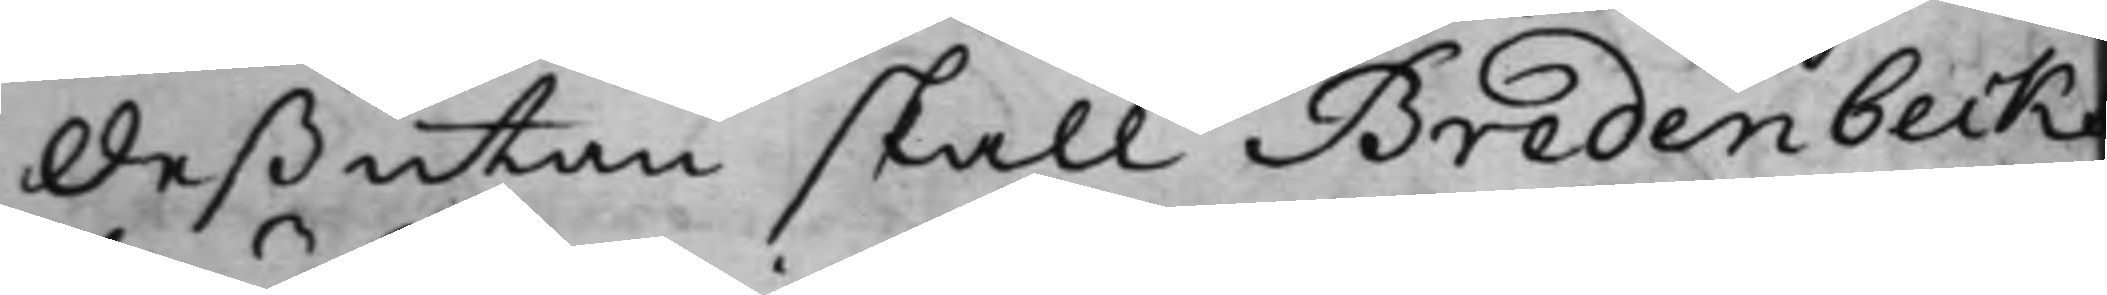Deßutan skall Bredenbeckz
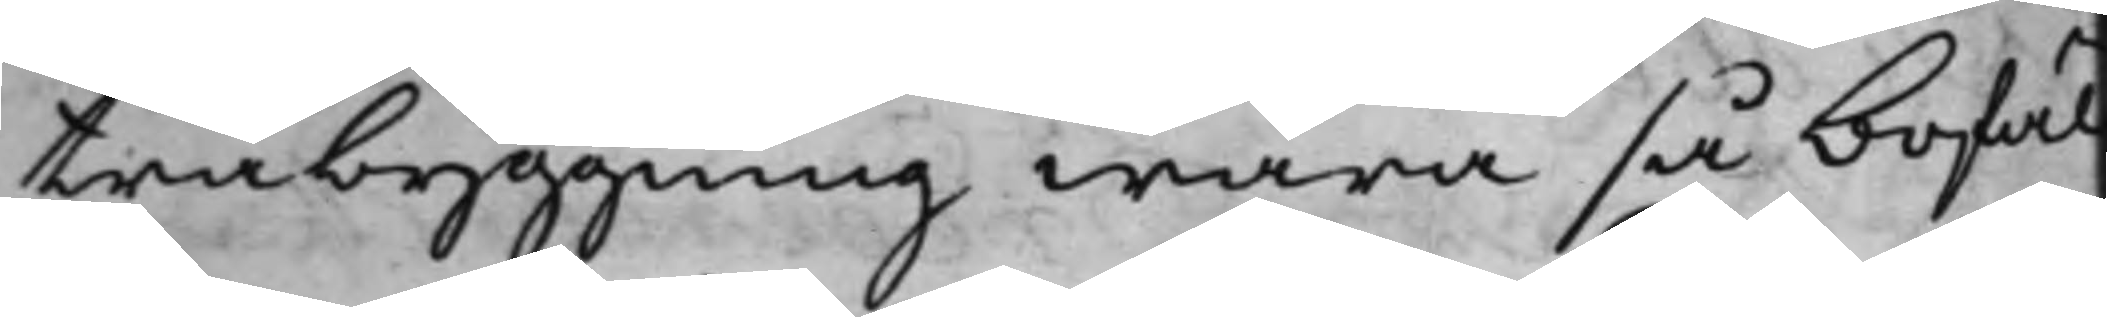träbyggning wara så bofäl¬
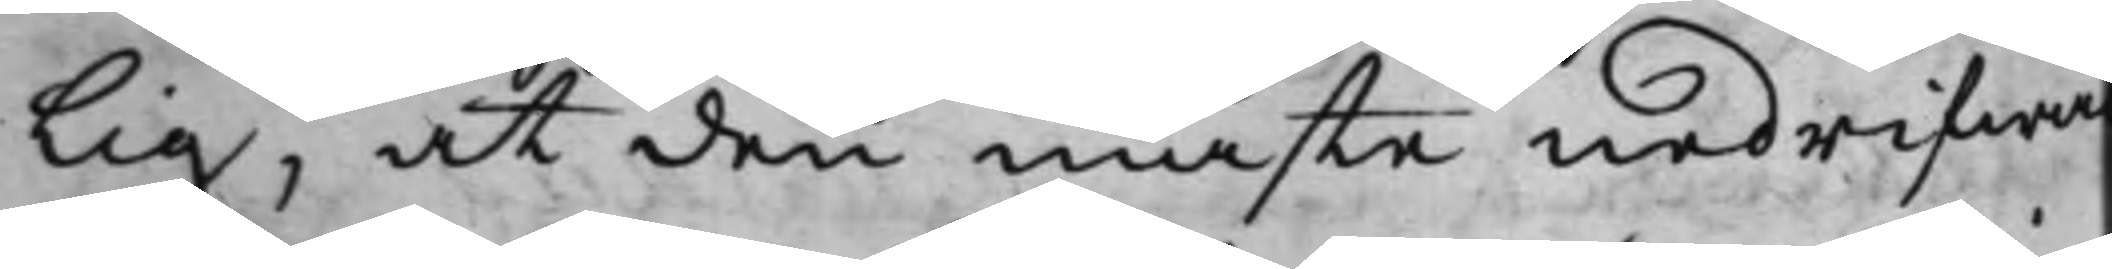lig, at den måste nedrifwa
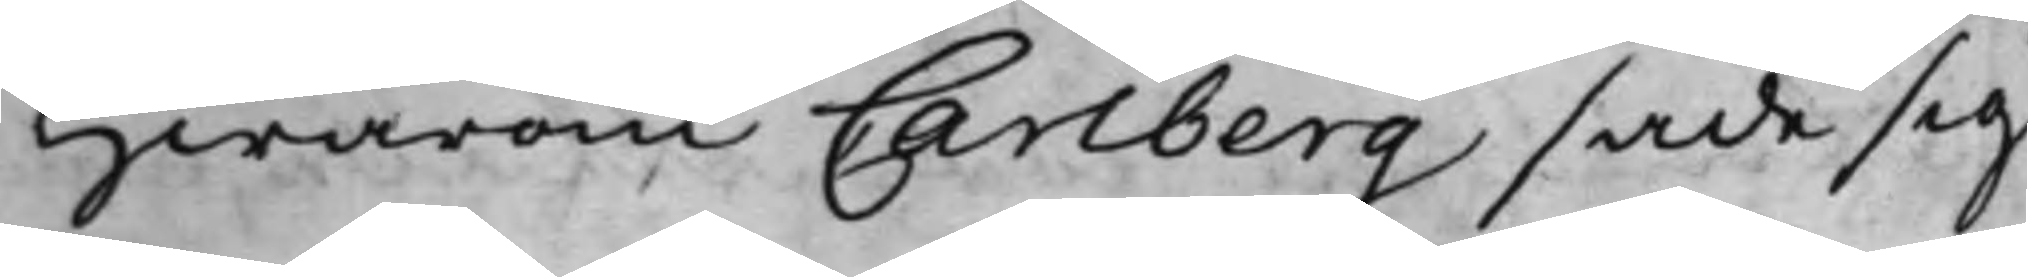hwarom Carlberg sade sig
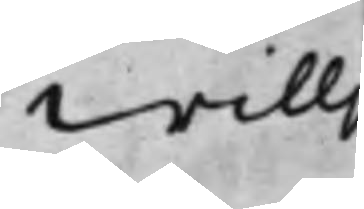willj
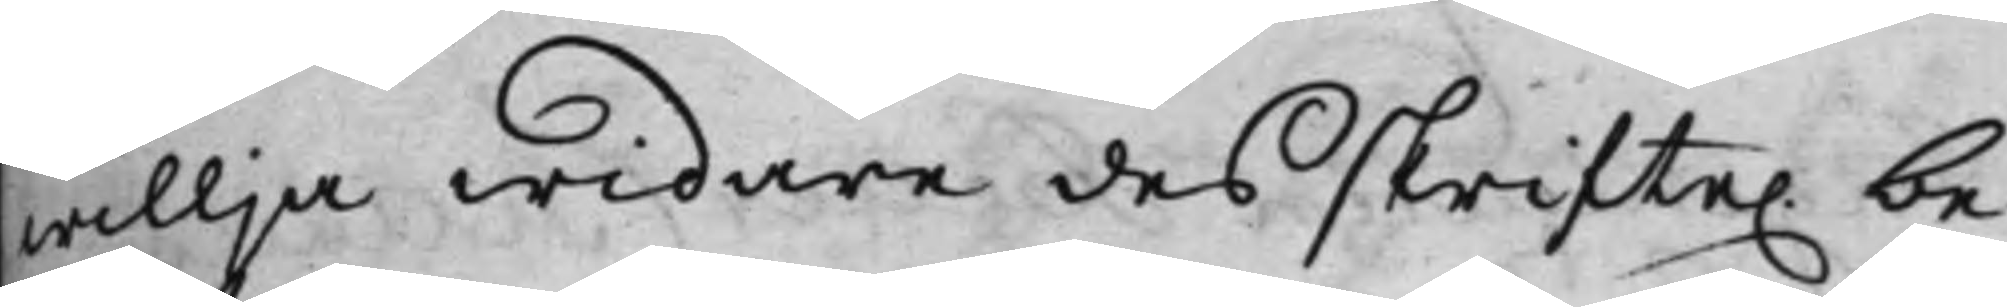willja widare des skrifte. be¬
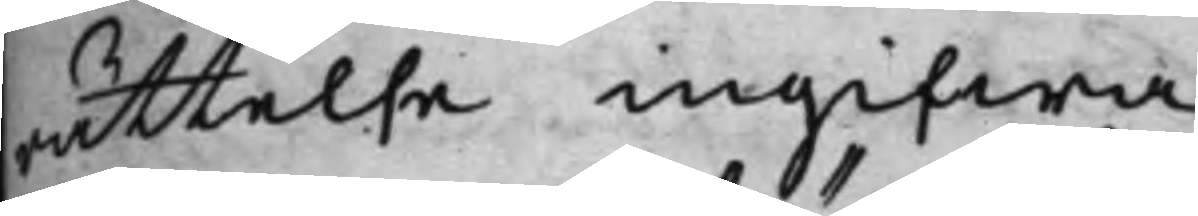rättelse ingifwa.
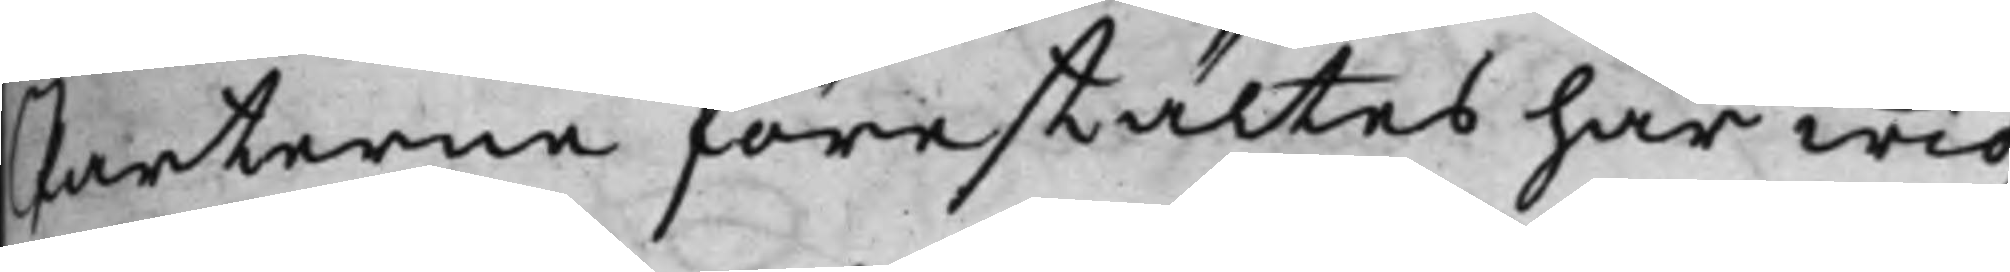Parterne förestältes här wid,
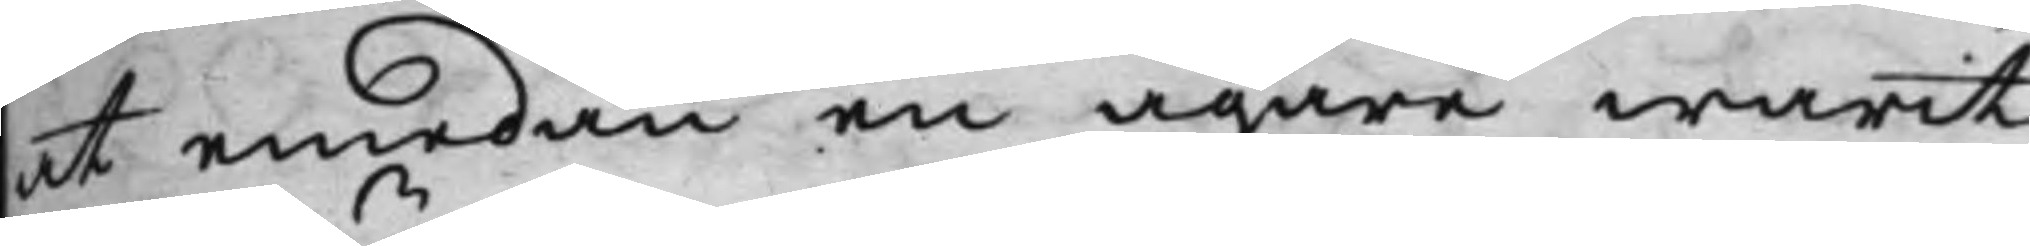at emedan en ägare warit
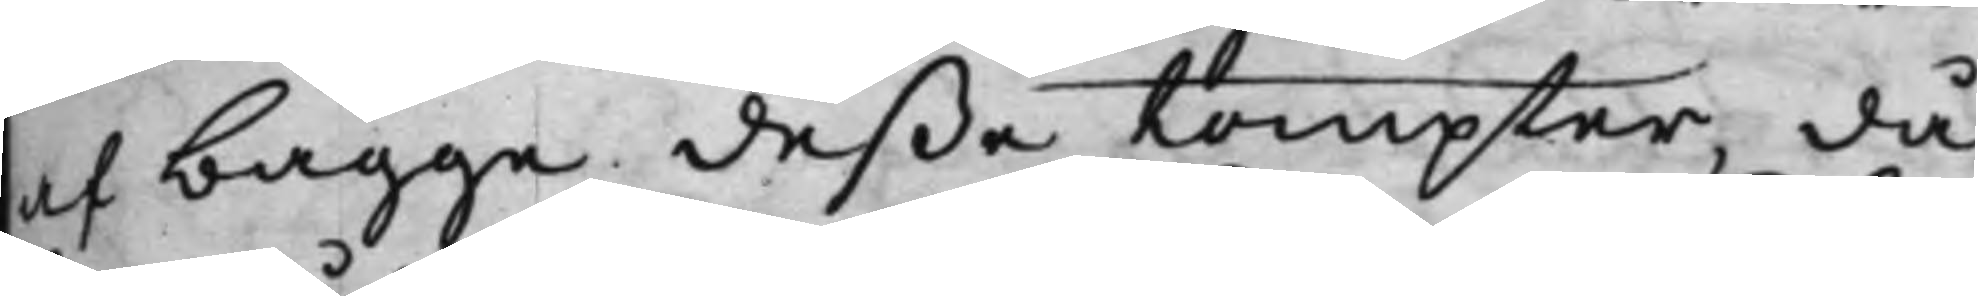af bägge deße tompter, då
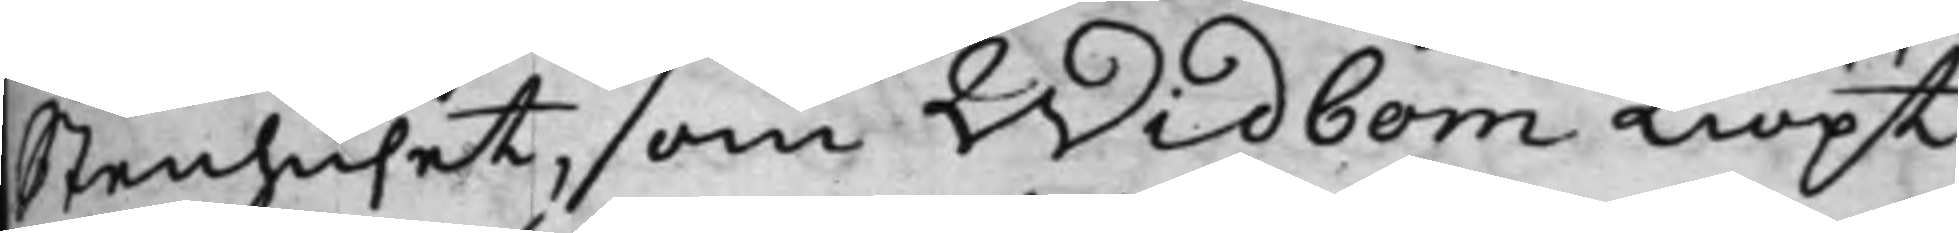Stenhuset, som Widbom Kiöpt
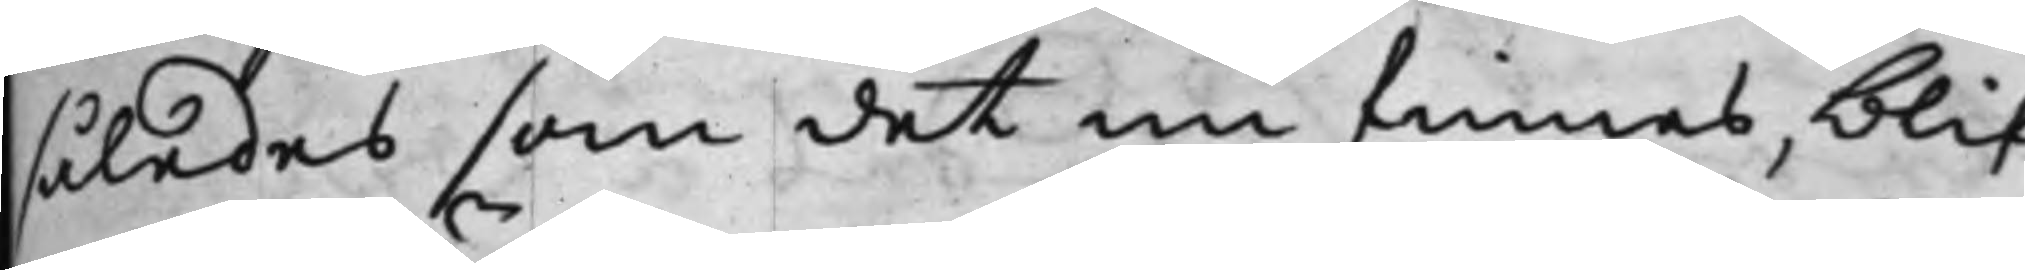således som det nu finnes, blif¬
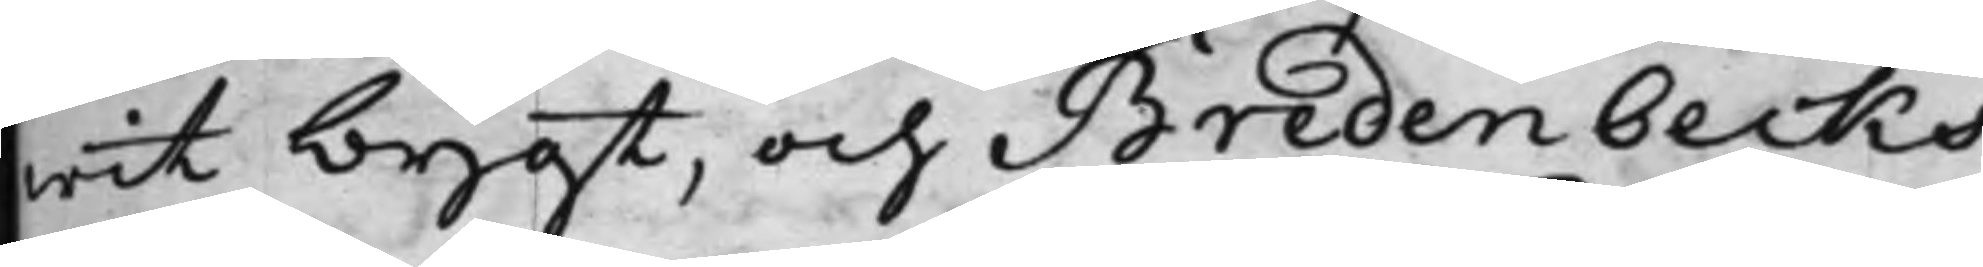wit bygt, och Bredenbecks
